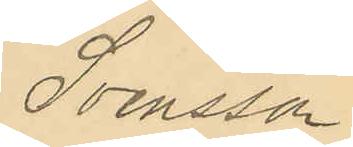Svensson
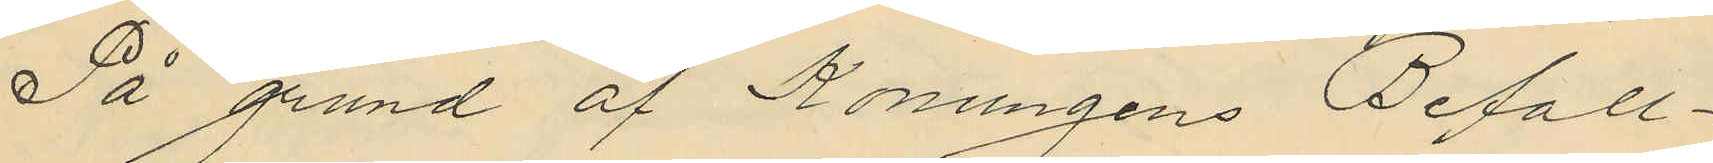På grund af Konungens Befall¬
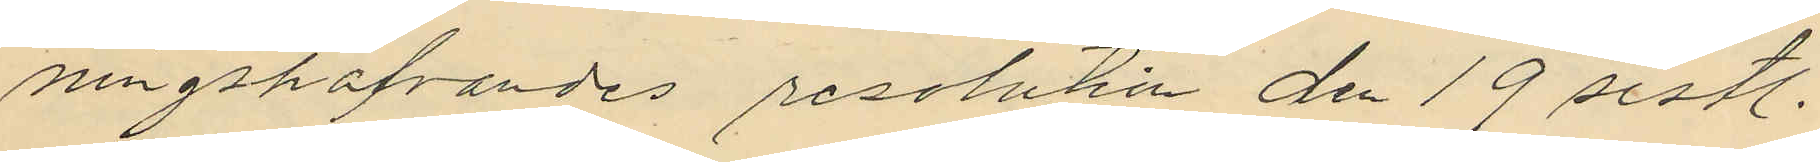ningshafvandes resolution den 19 sistl.
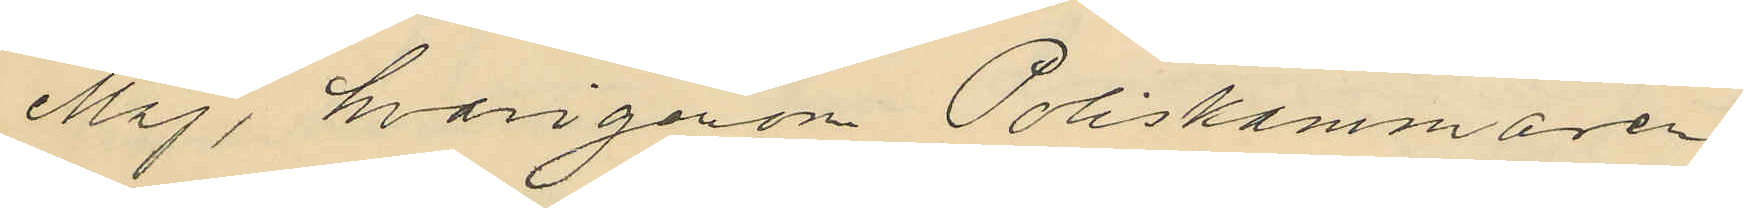Maj, hvarigenon Poliskammaren
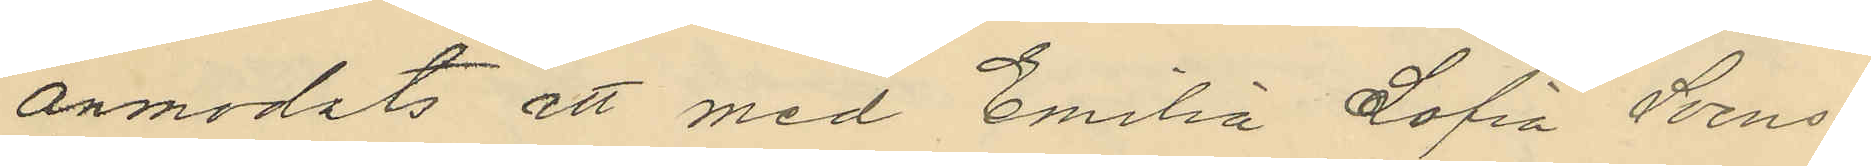anmodats att med Emilia Sofia Svens¬
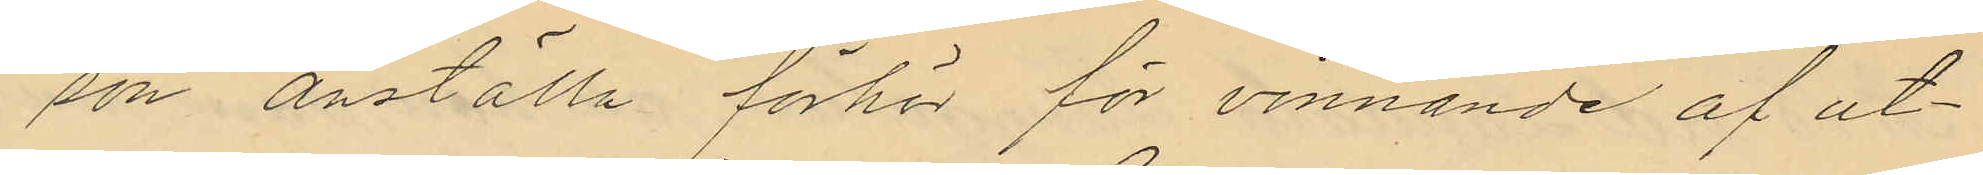son anställa förhör för vinnande af ut¬
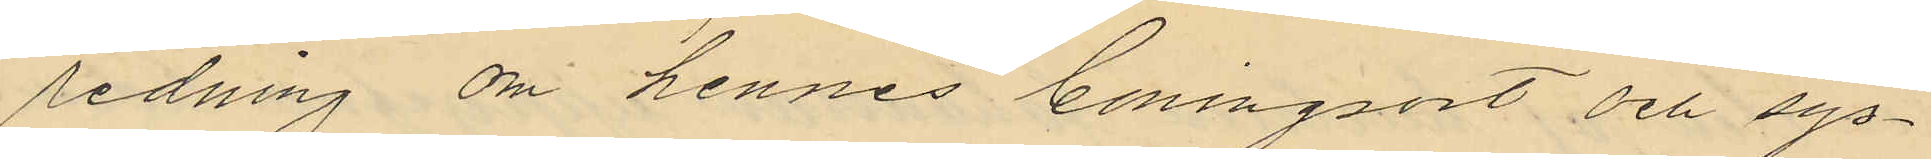redning om hennes boningsort och sys¬
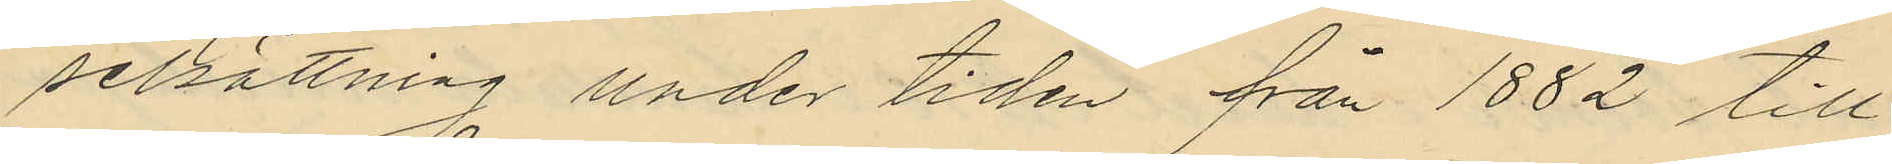selsättning under tiden får 1882 till
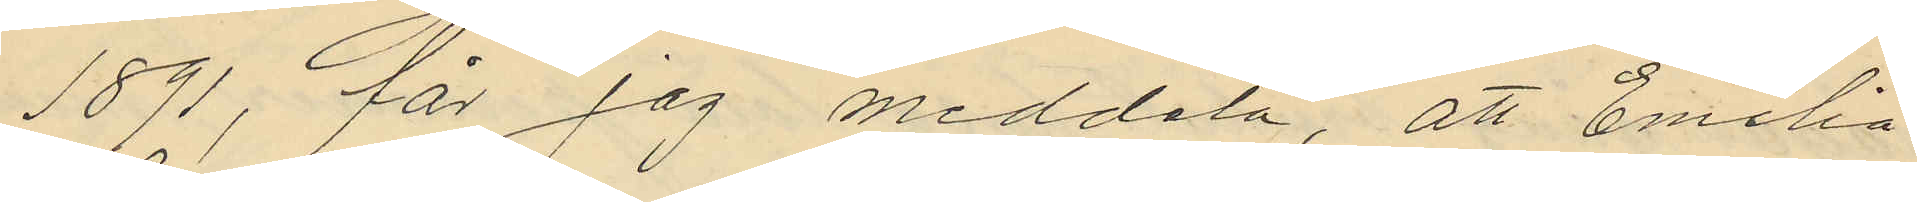1891, får jag meddela, att Emilia
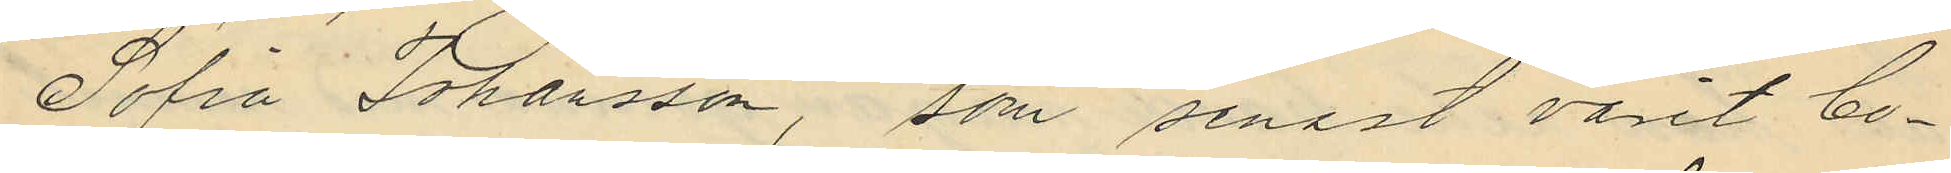Sofia Johansson, som senast varit bo¬
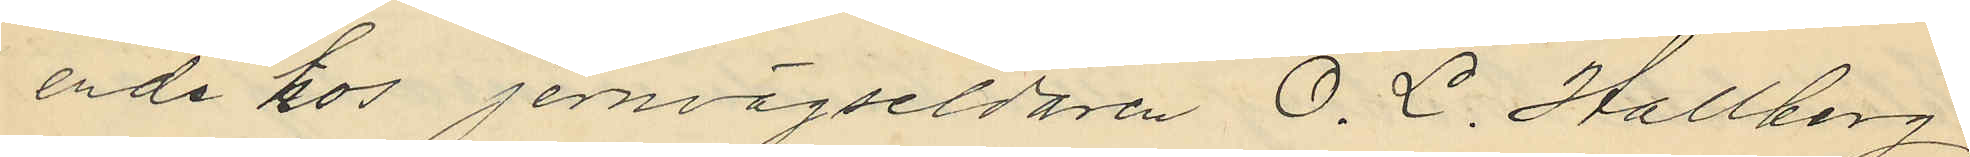ende hos jernvägseldaren O. L. Hallberg
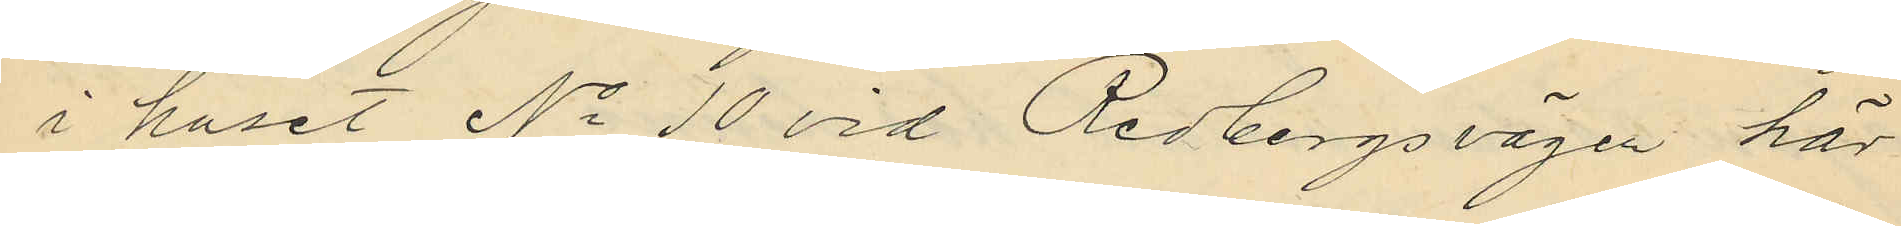i huset No 10 vid Redbergsvägen här
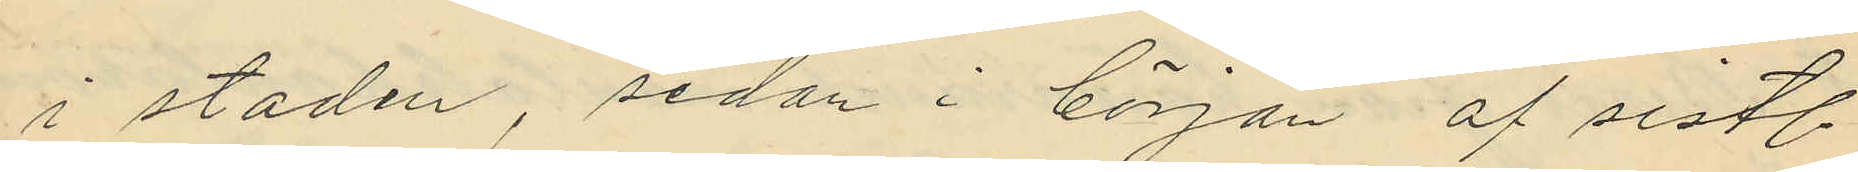i staden, sedan i början af sistl.
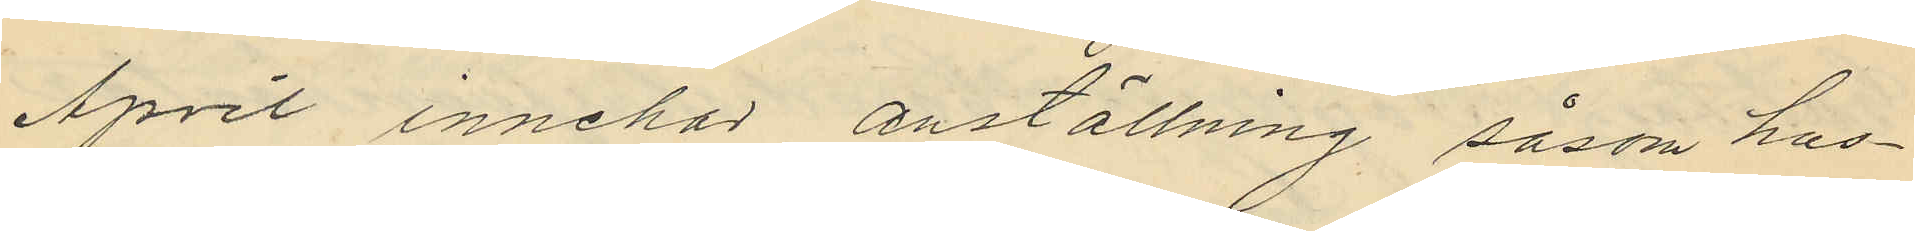April innehar anställning såsom hus¬
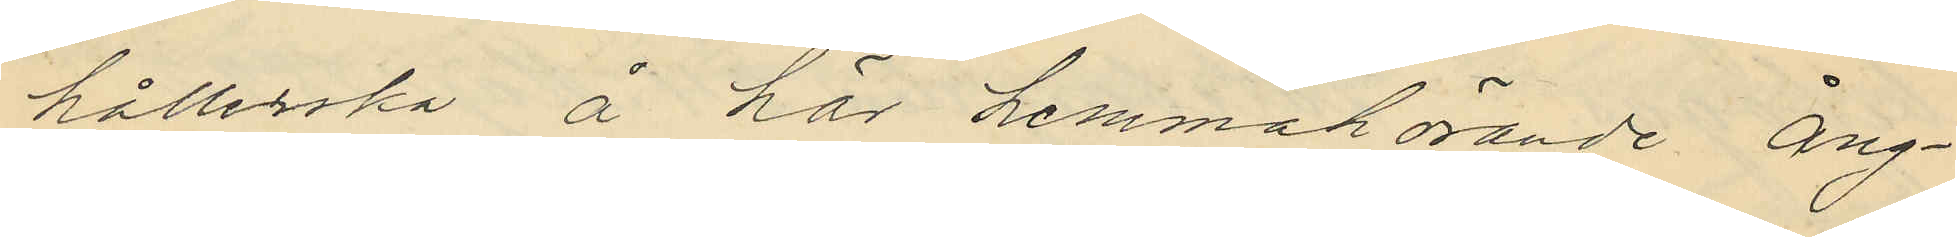hållerska å här hemmahörande Ång¬
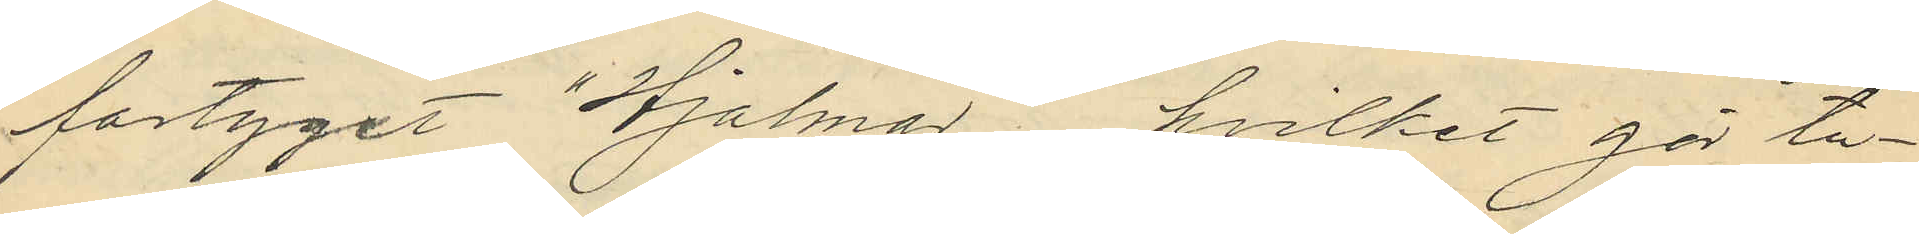fartyget "Hjalmar", hvilket gör tu¬
